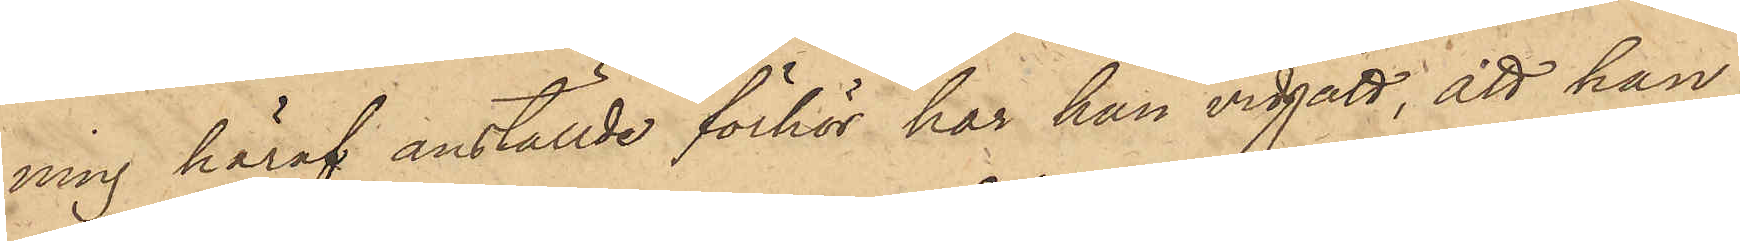ning häraf anställde förhör har han vidgått, att han
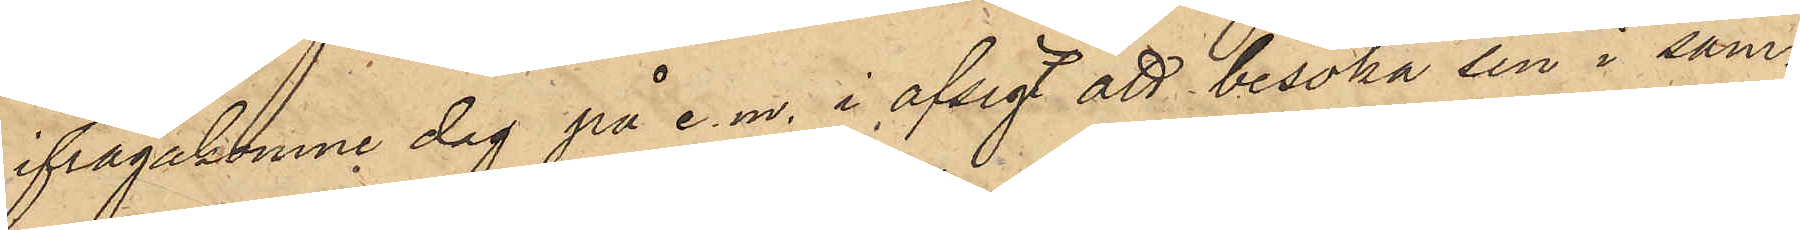ifrågakomne dag på e. m. i afsigt att besöka sin i sam¬
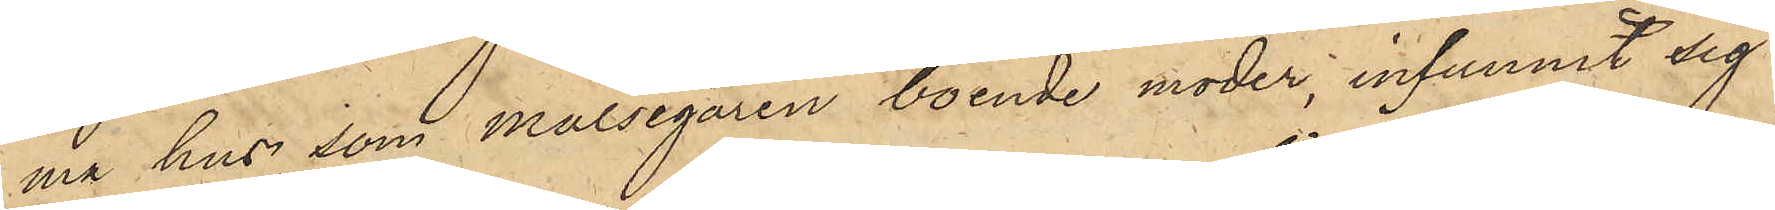ma hus som målsegaren boende moder, infunnit sig
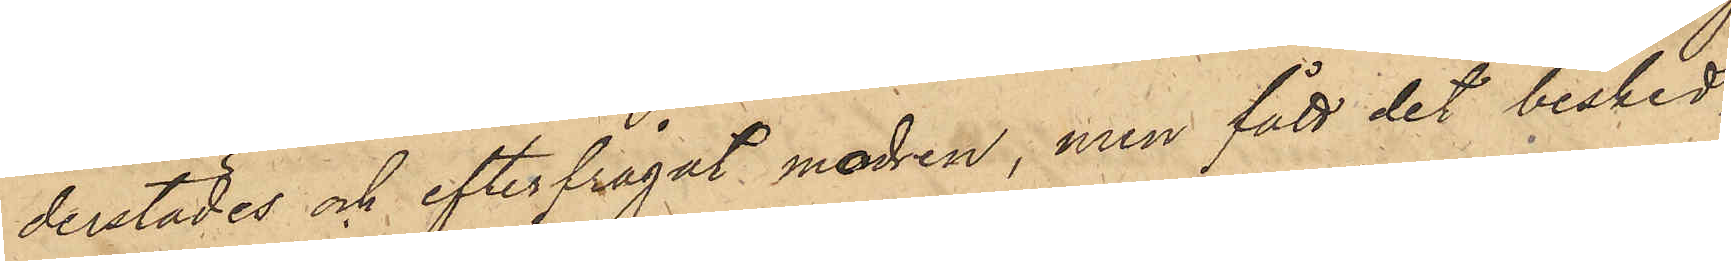derstädes och efterfrågat modren, men fått det besked,
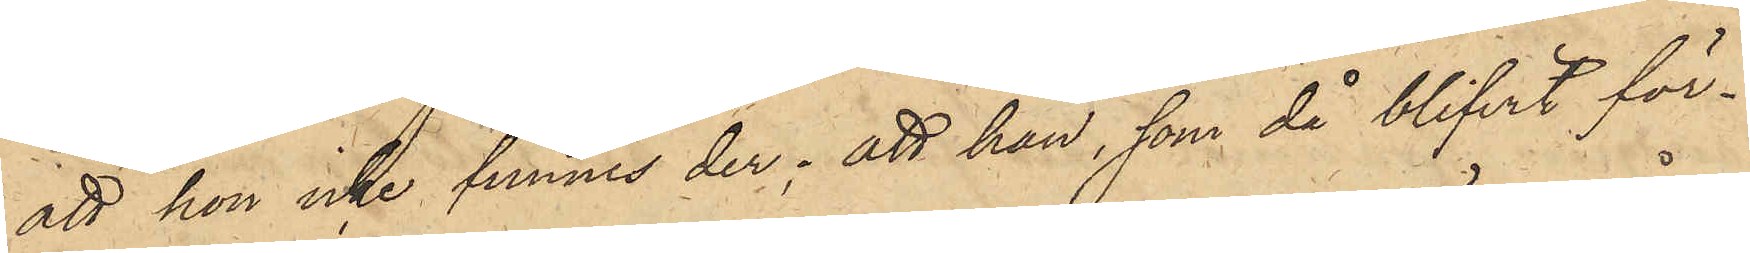att hon icke funnes der; att han, som då blifvit för¬
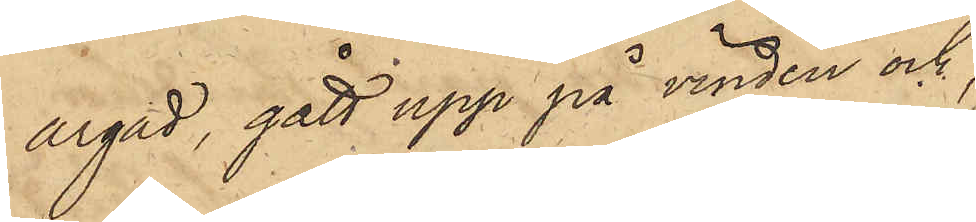argad, gått upp på vinden och,
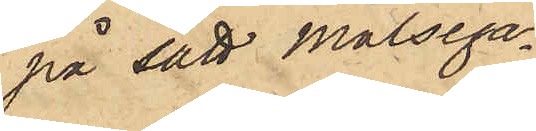på sätt målsega¬
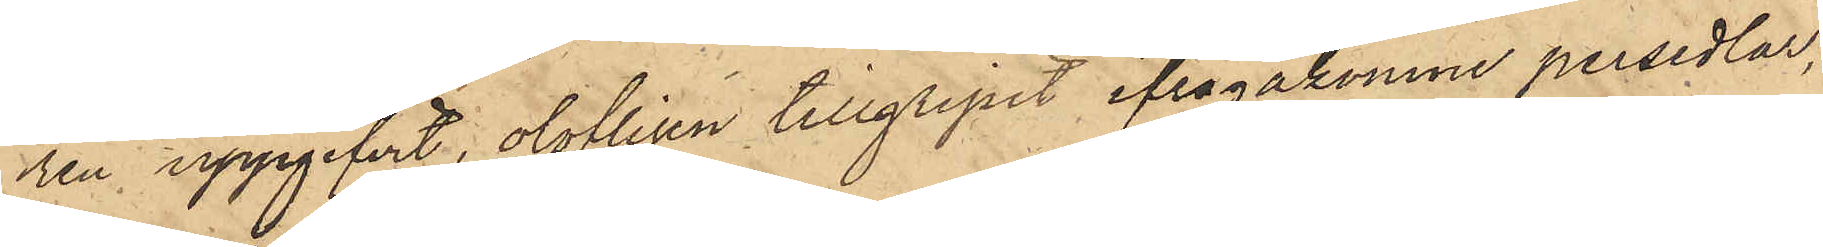ren uppgifvit, olofligen tillgripit ifrågakomne persedlar,
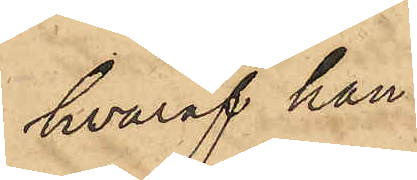hvaraf han
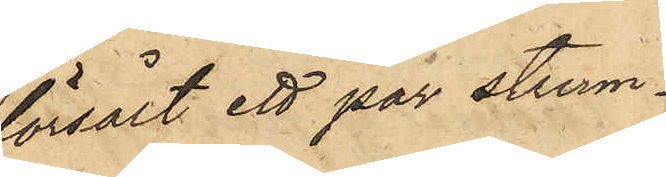försålt ett par strum¬
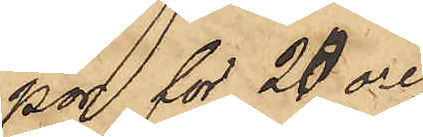por för 20 öre
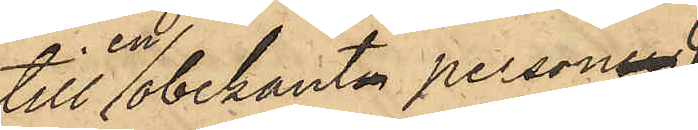till en obekant person
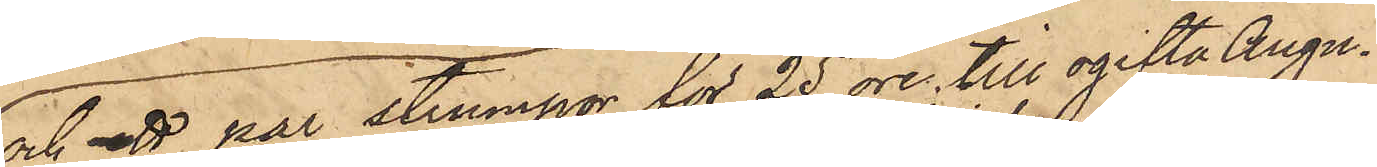och ett par strumpor för 25 öre till ogifta Augu¬
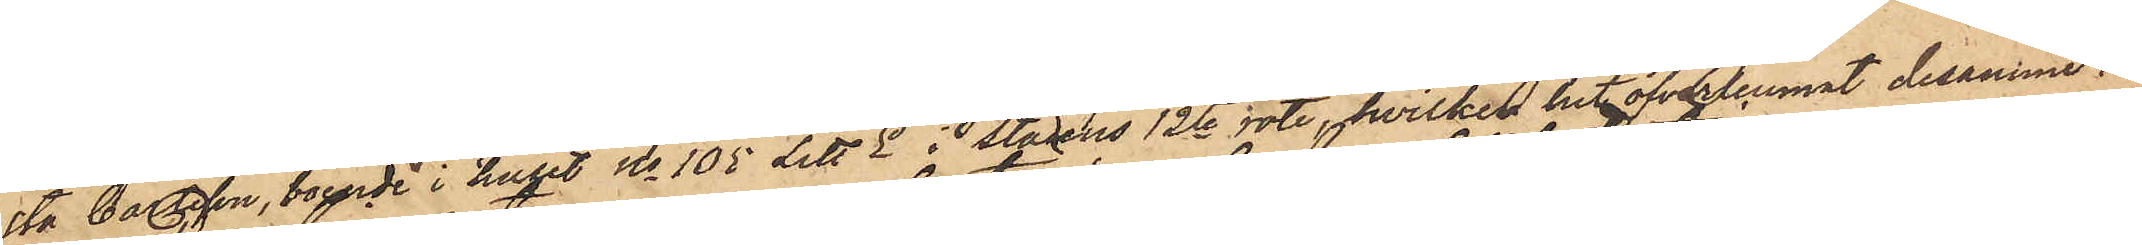sta Carlsson, boende i huset No 105 Litt E i Stadens 12te rote, hvilken hit öfverlemnat desamme.
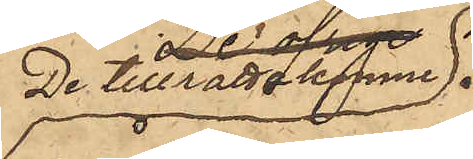De tillrättakomne
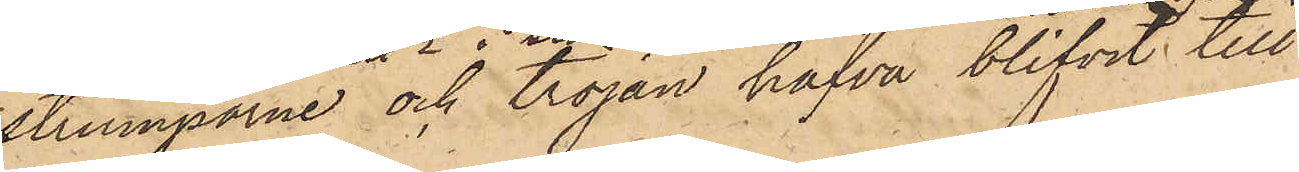strumporne och tröjan hafva blifvit till
